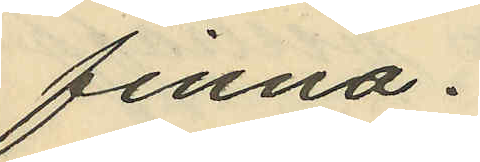finna.
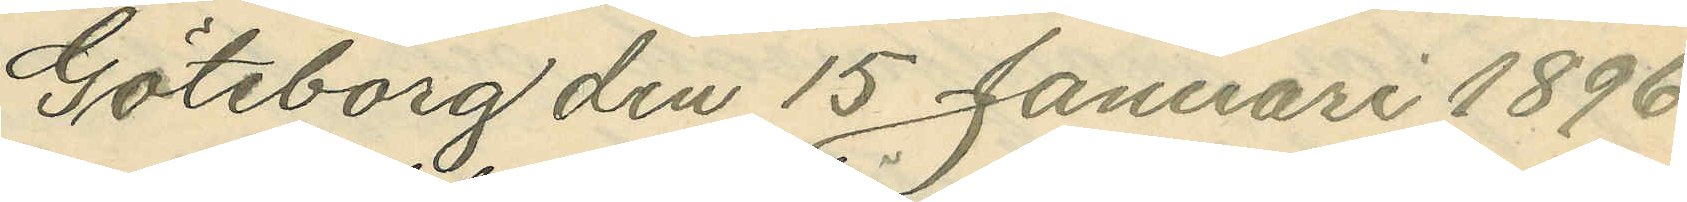Göteborg den 15 Januari 1896.
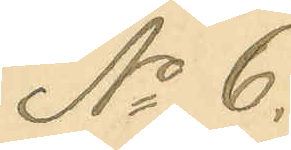No 6
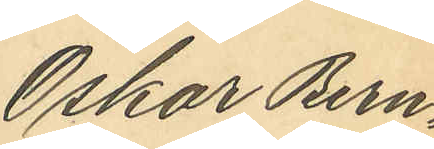Oskor Bern¬
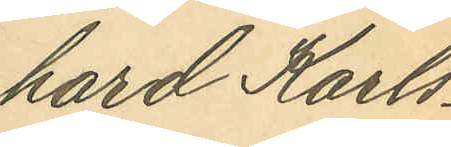hard Karls¬
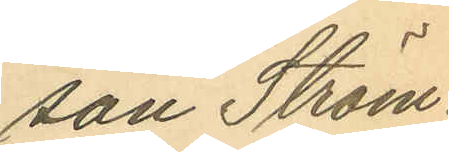san Ström¬
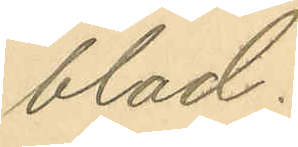blad.
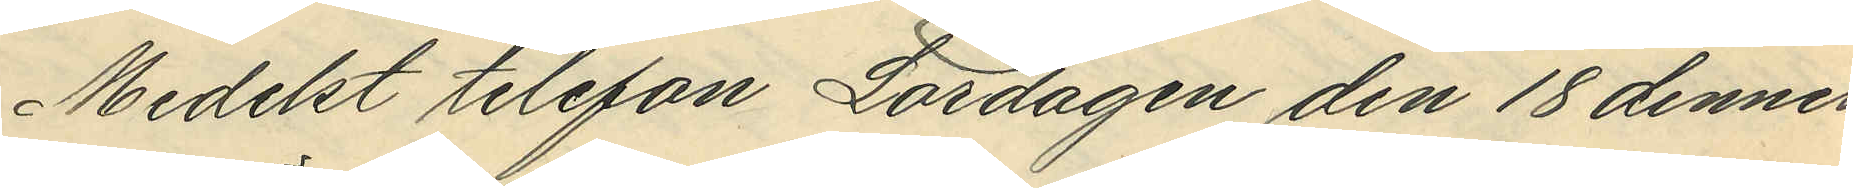Medelst telefon Lördagen den 18 dennes
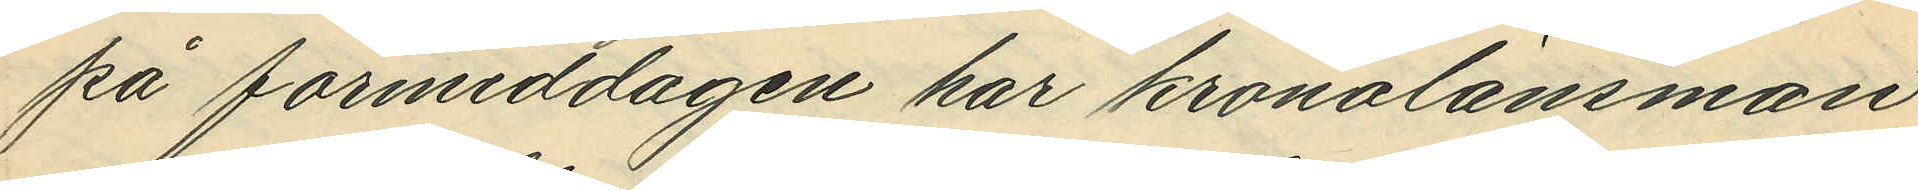på förmiddagen har kronolänsman¬
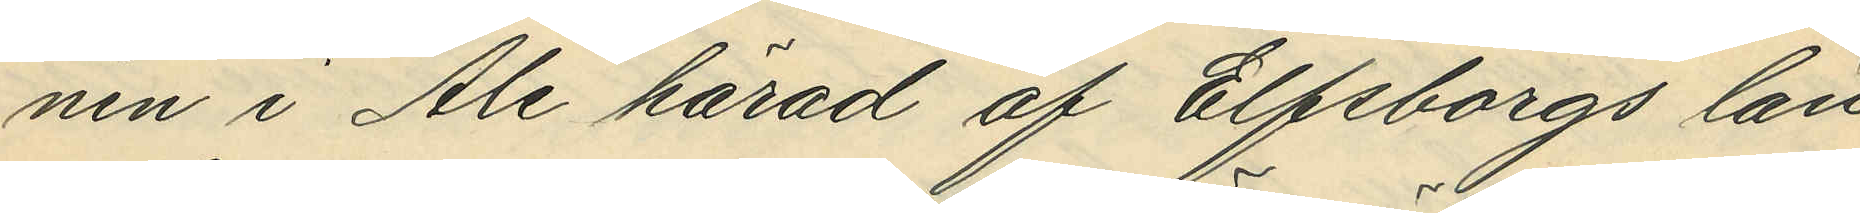nen i Ale härad af Elfsborgs län
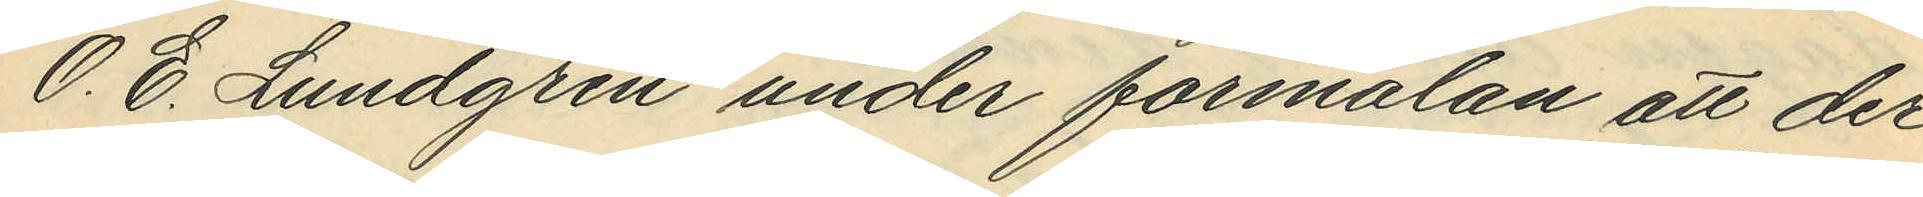O. E. Lundgren under förmälan att der¬
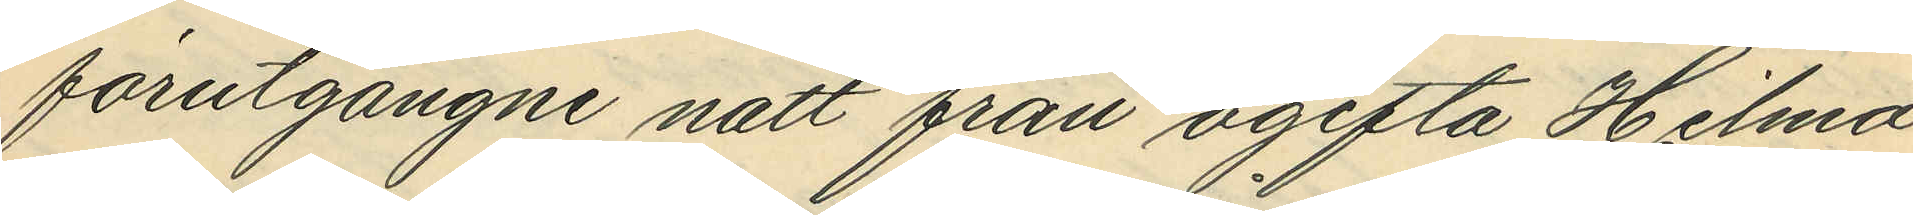förutgångne natt från ogifta Hilma
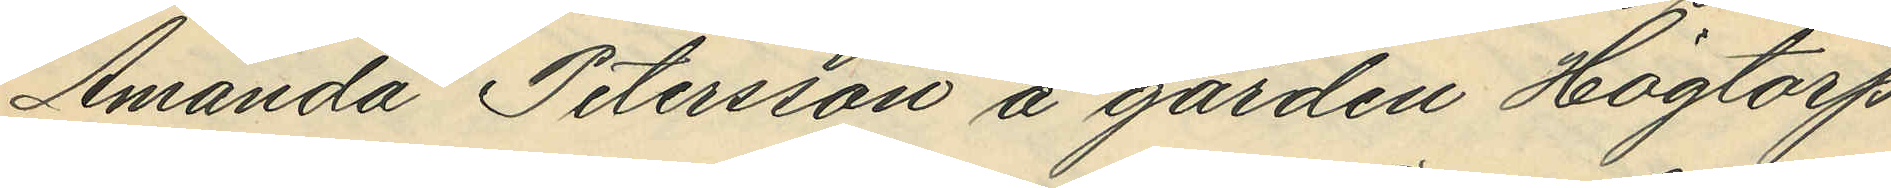Amanda Petersson å gården Högtorp
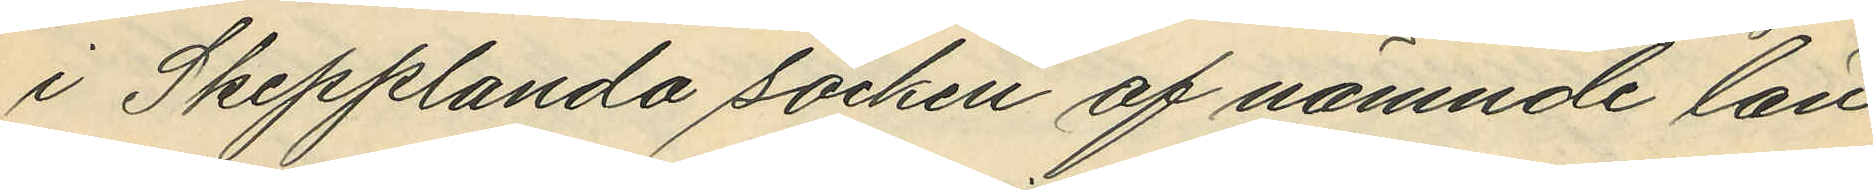i Skepplanda socken af nämnde län
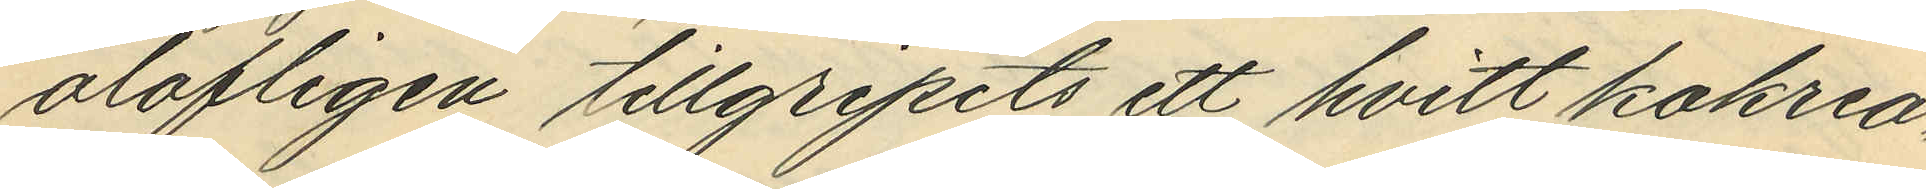olofligen tillgripits ett hvitt kokrea¬
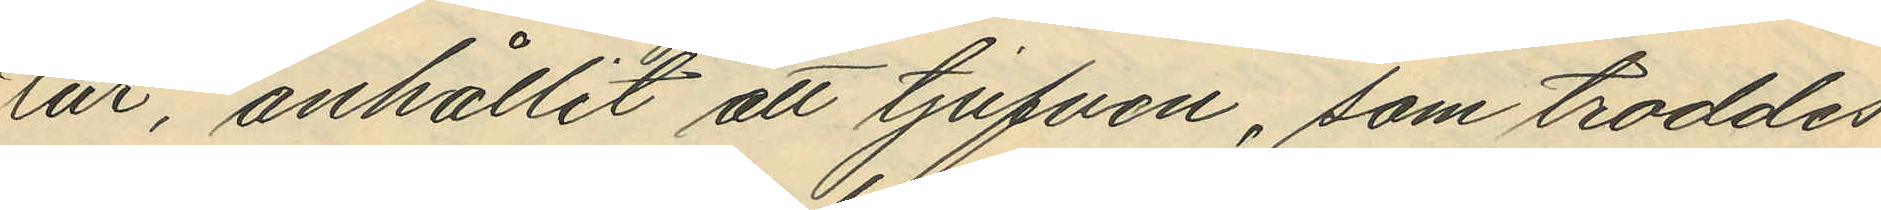tur, anhållit att tjufven, som troddes
